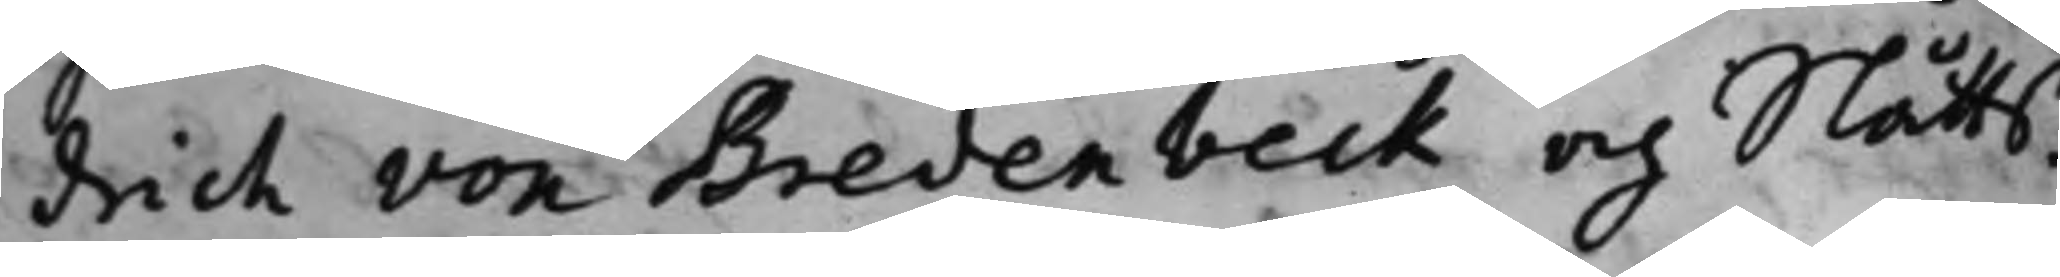drich von Bredenbeck och Slåtts¬
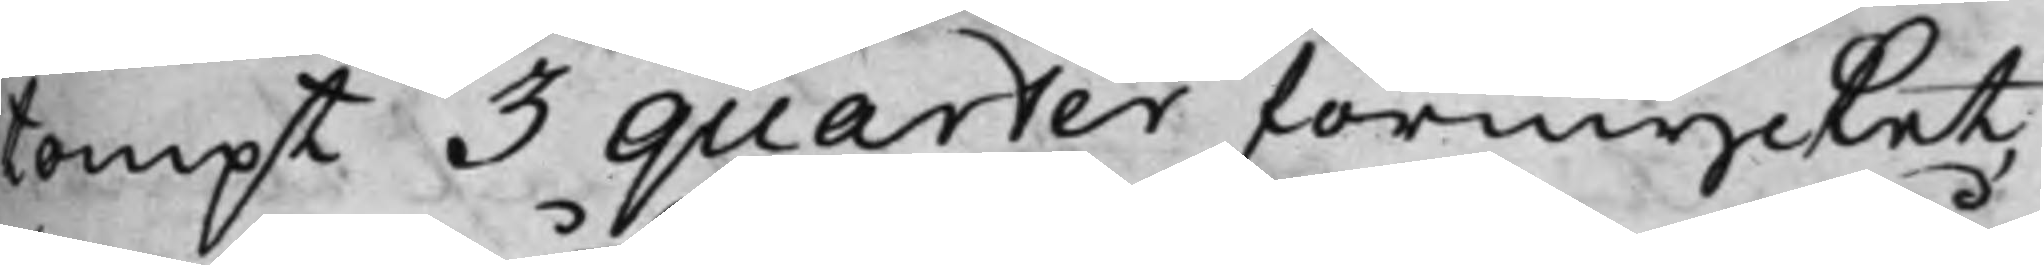tompt 3 quarter förmycket,
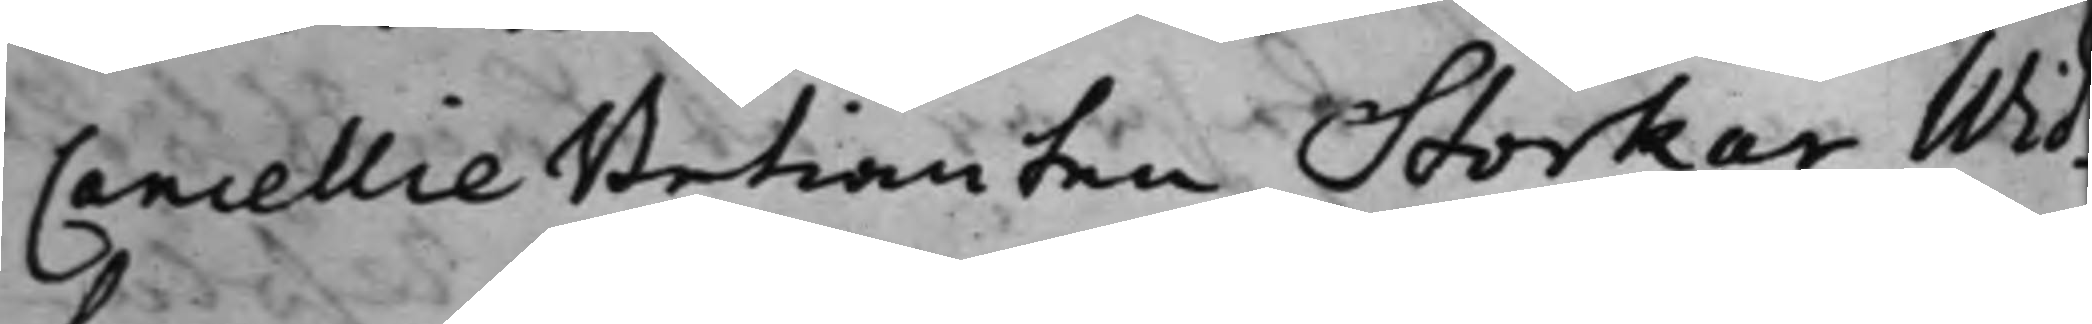Cancellie Betiänten Storker Wid¬
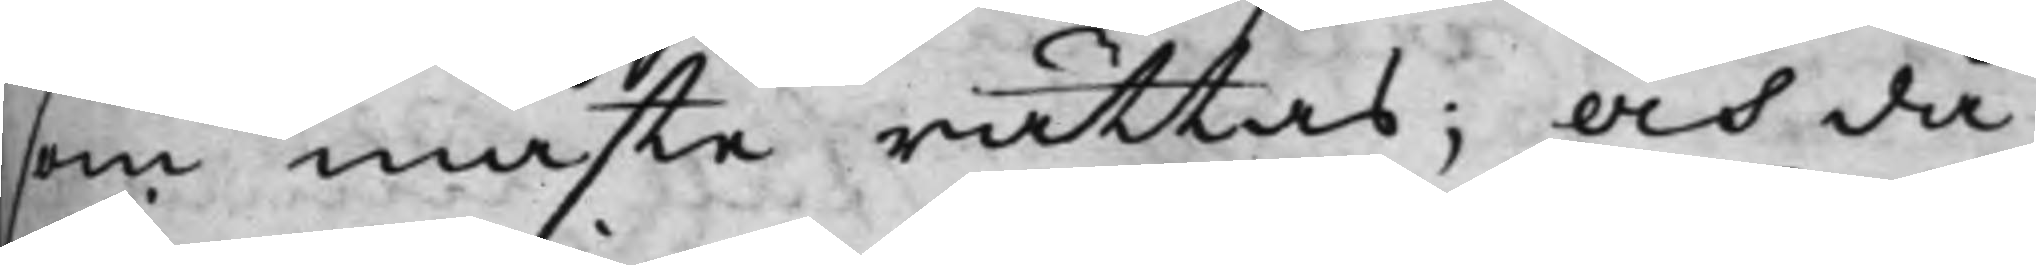som måste rättas; och då
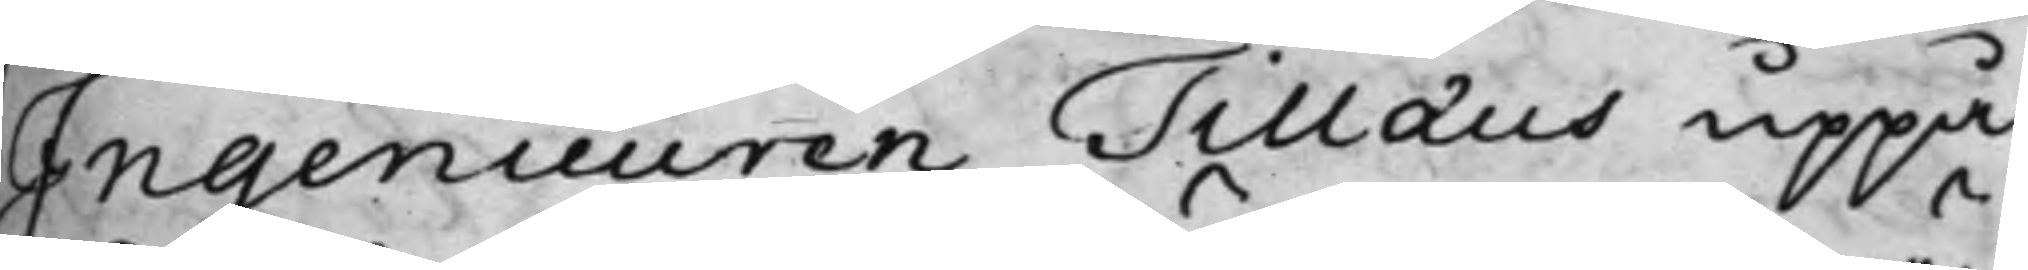Ingeneuren Tillaus uppå
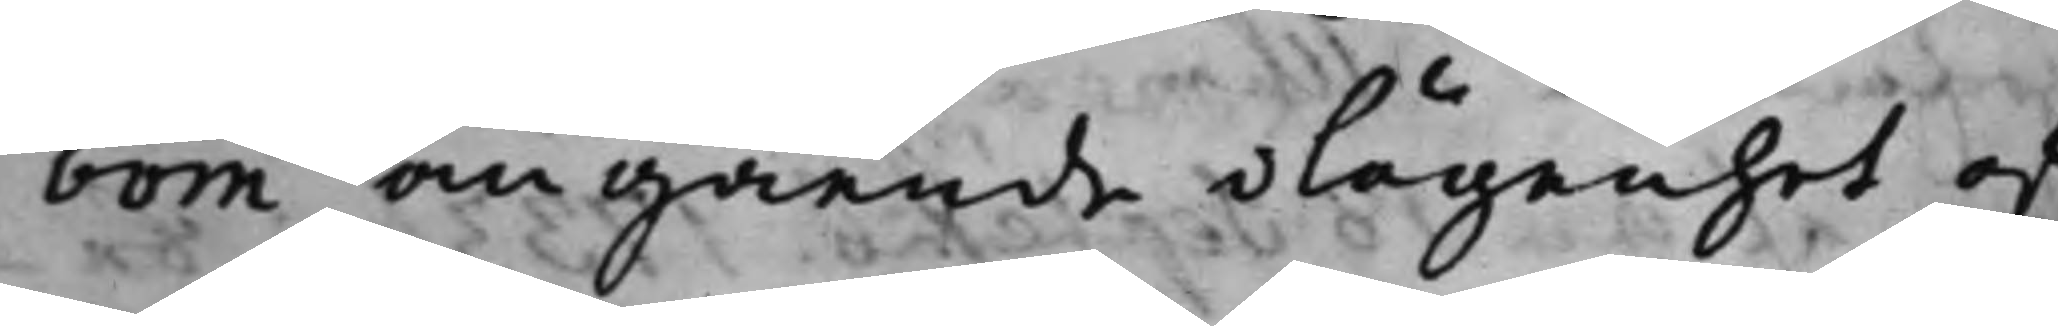bom angående lägenhet af¬
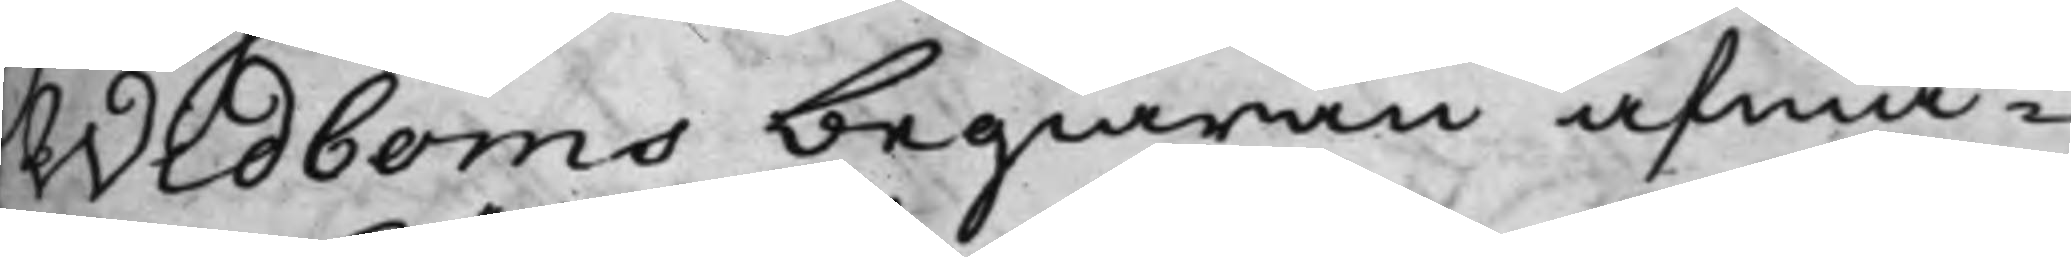Widboms begiäran afwa¬
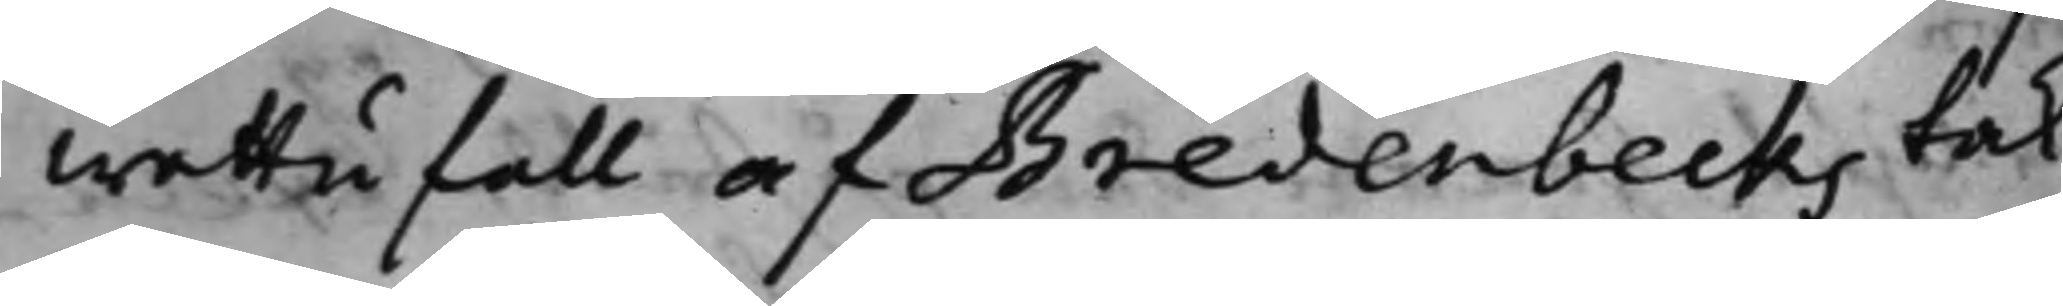wattufall af Bredenbecks tak¬
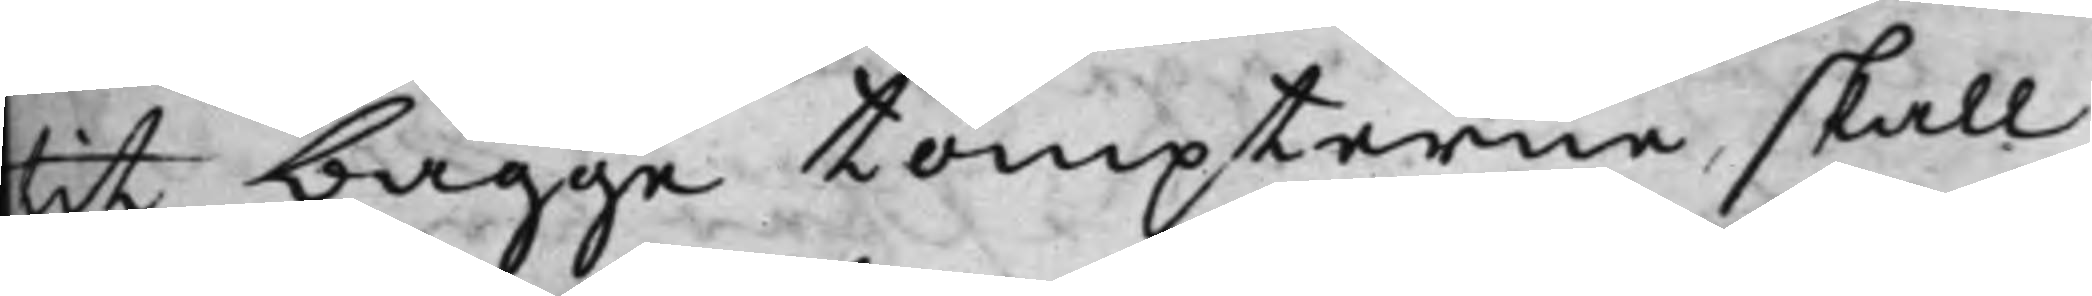tit bägge tompterne, skall
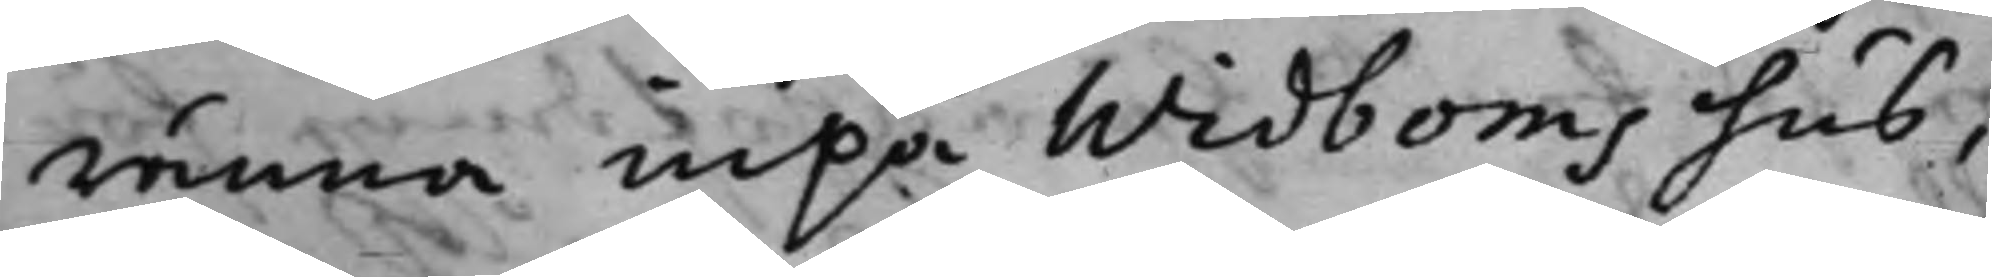ränna upå Widboms hus¬
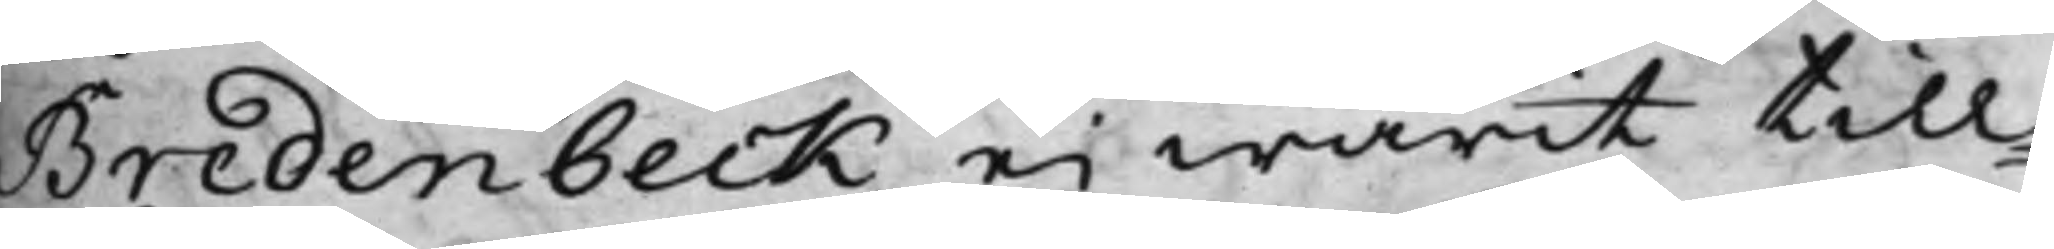Bredenbeck ei warit till¬
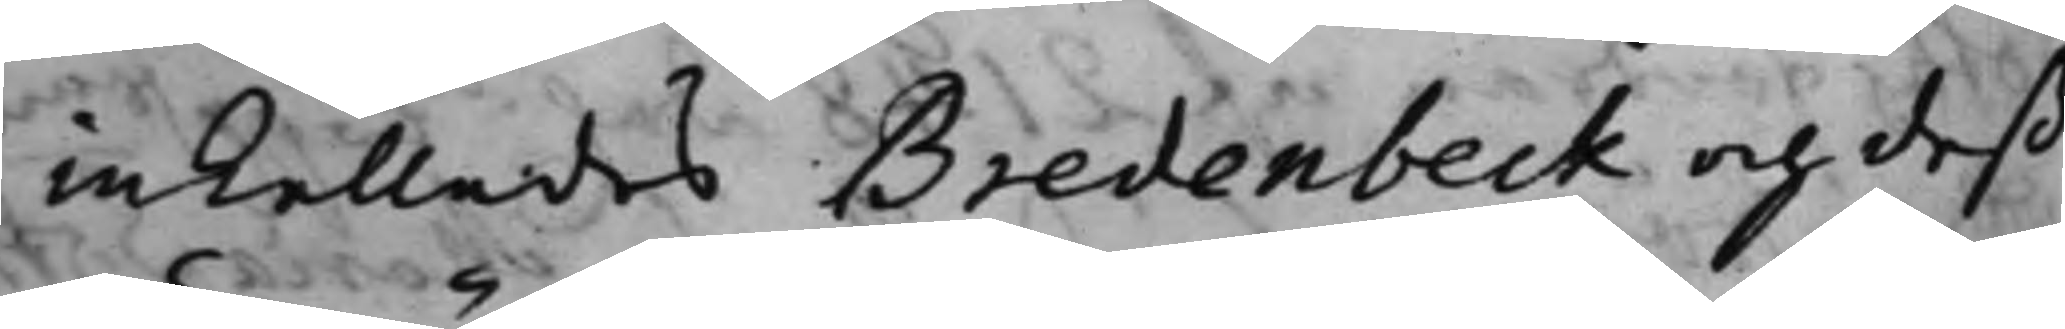inkallades Bredenbeck och deß
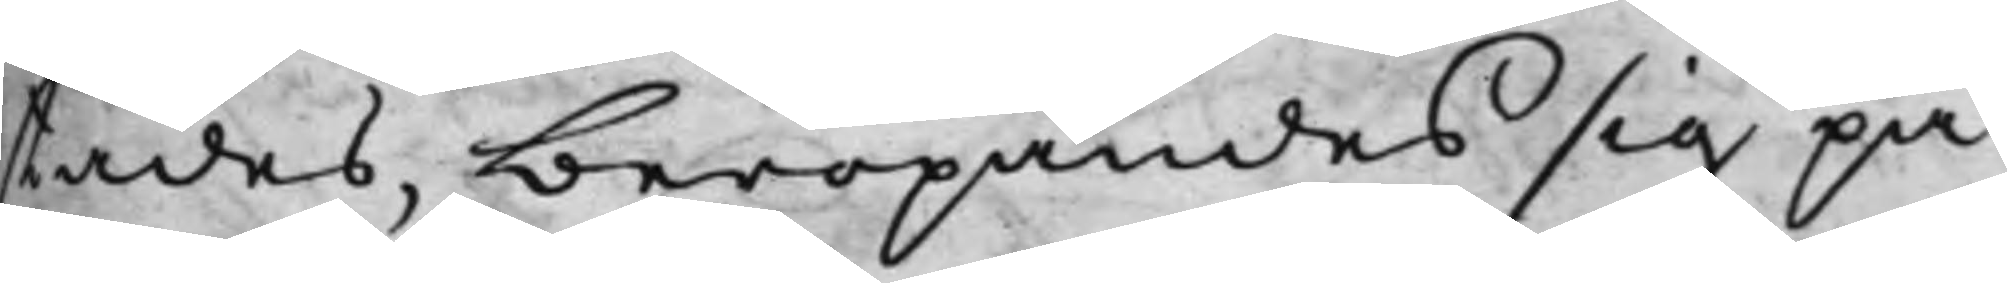städes, beropandes sig på
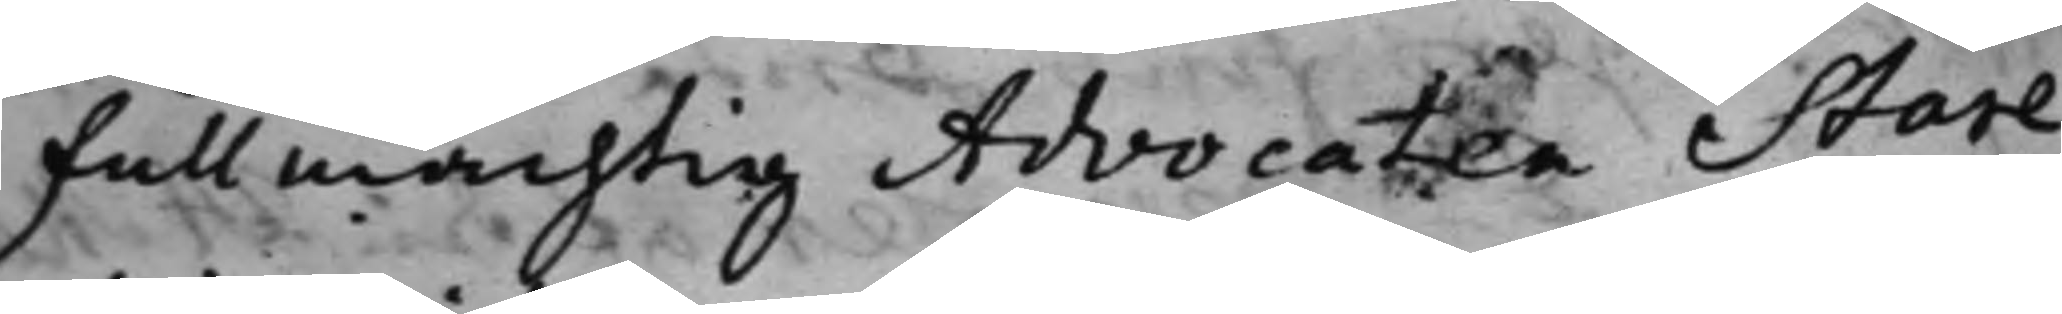Fullmächtig Advocaten Stare¬
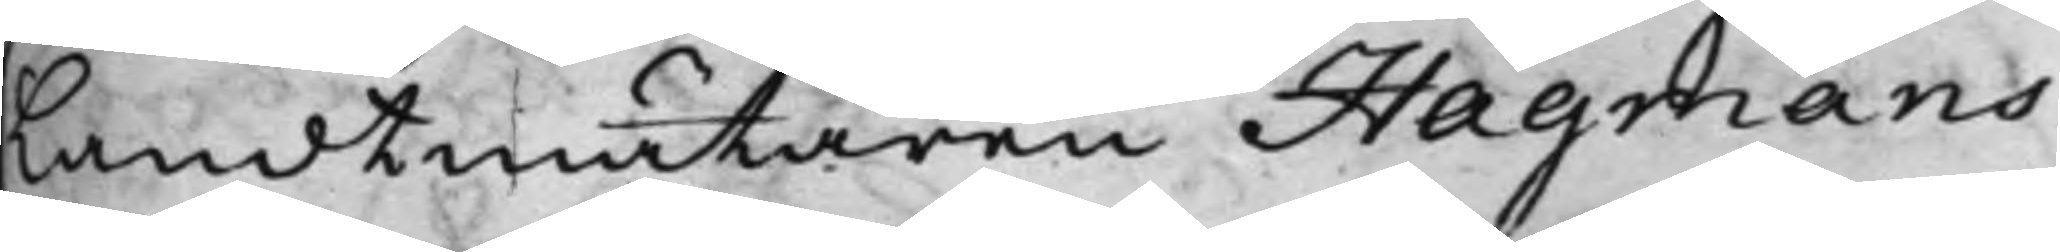Landtmätaren Hagmans
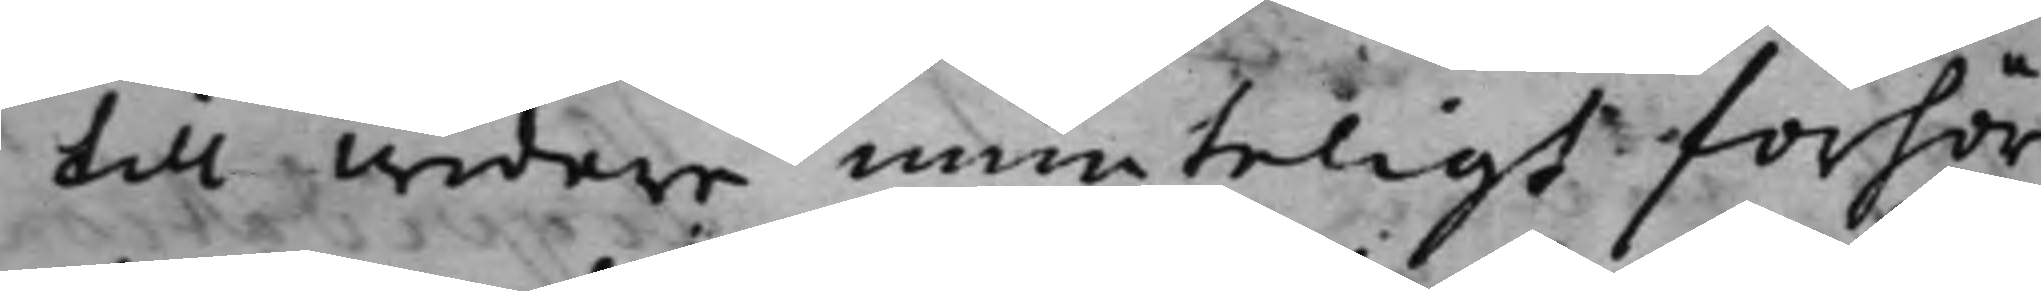till widare munteligt förhör
